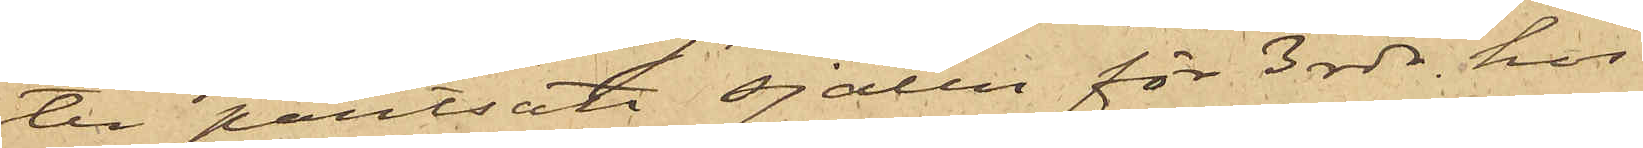ter pantsatt sjalen för 3 rdr hos
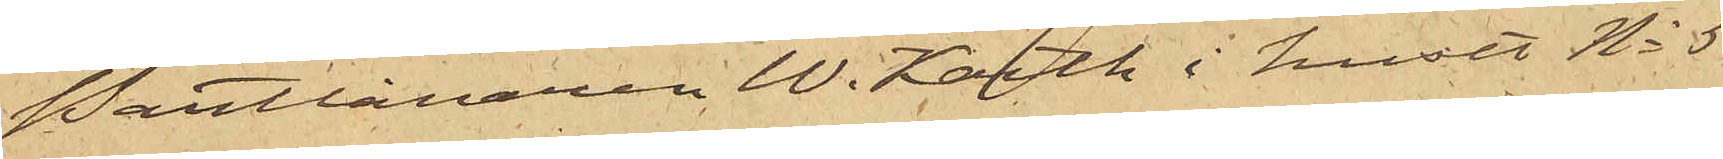Pantlånaren W. Karth i huset No 5
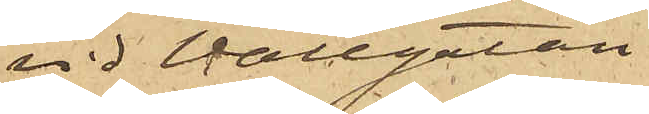vid Wallgatan.
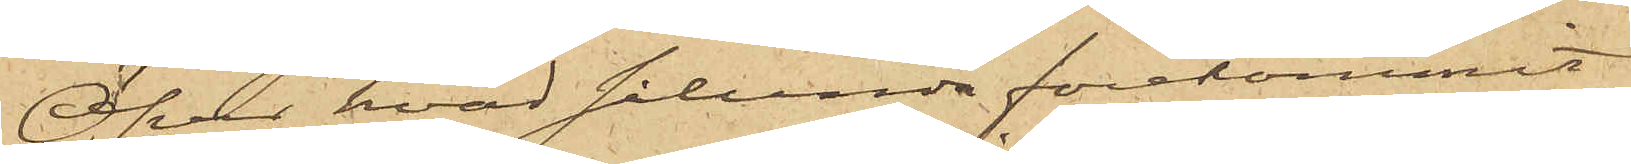Öfver hvad sålunda förekommit
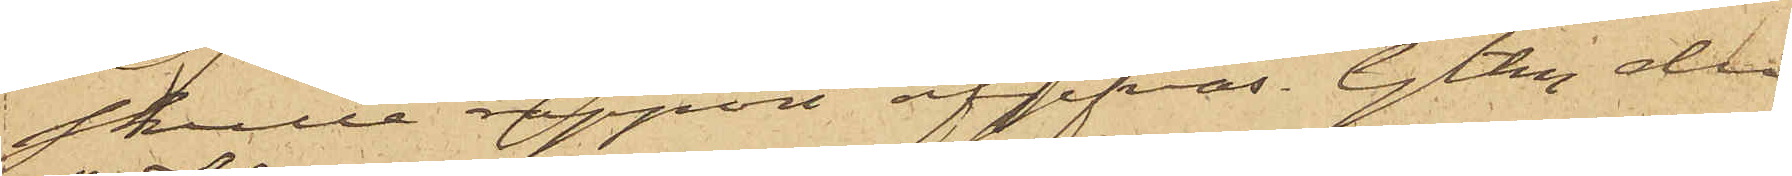skulle rapport afgifvas. Gtbg den
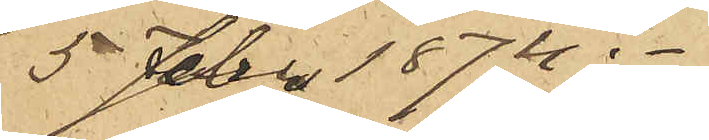5 Febr. 1874.
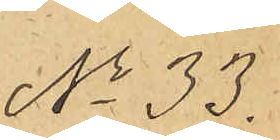No 33.
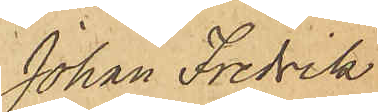Johan Fredrik
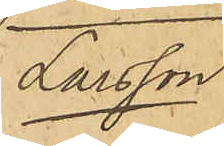Larsson
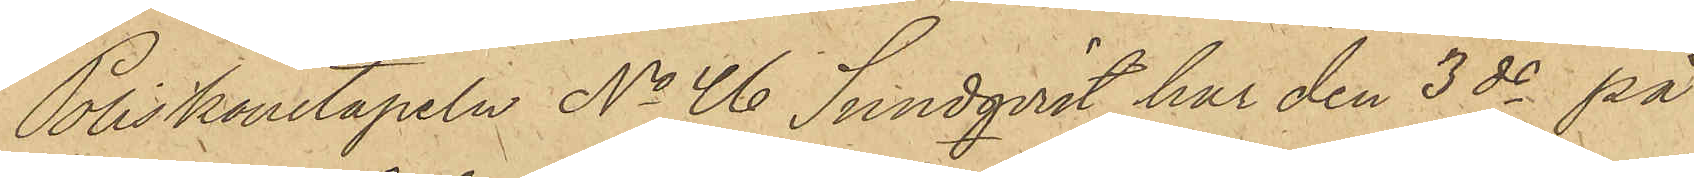Poliskonstapeln No 46 Sundqvist har den 3 ds på
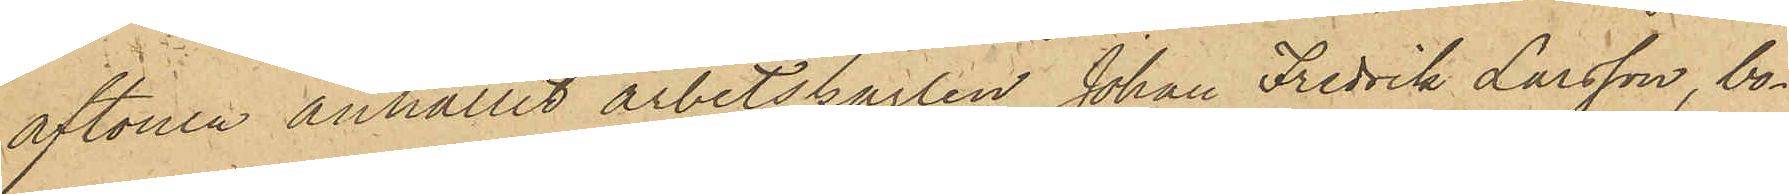aftonen anhållit arbetskarlen Johan Fredrik Larsson, bo¬
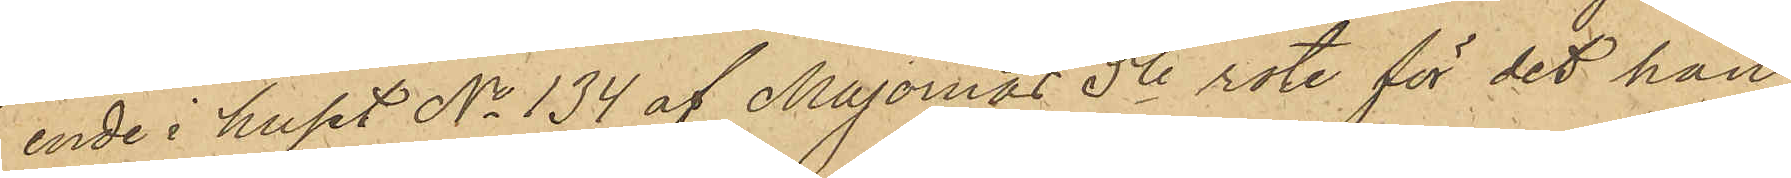ende i huset No 134 af Majornas 5te rote, för det han
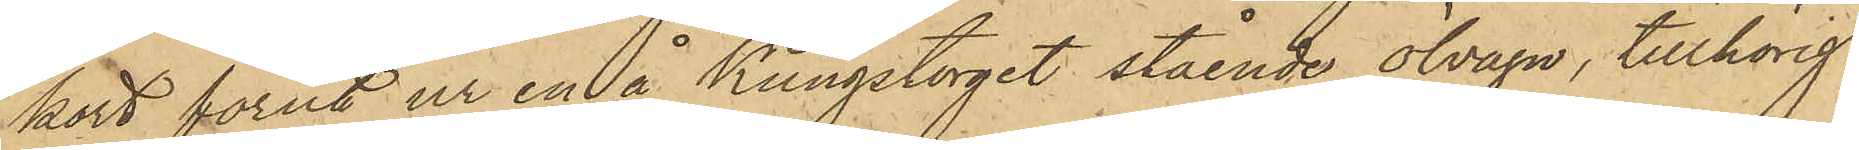kort förut ur en å Kungstorget stående ölvagn, tillhörig
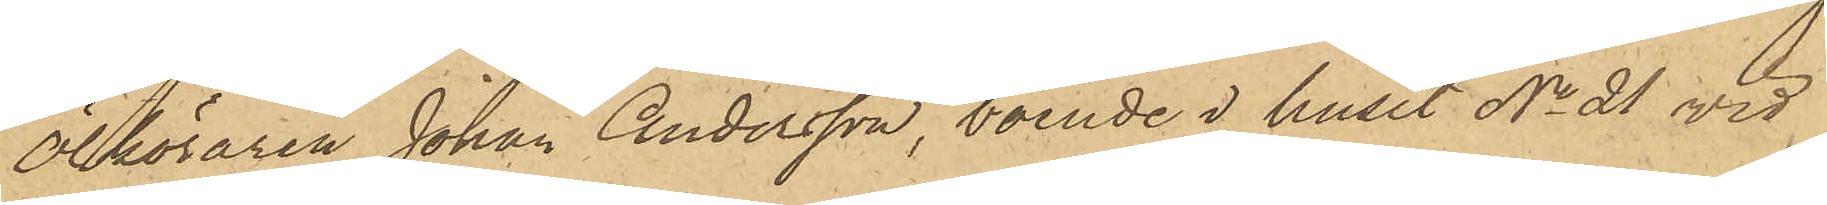Ölköraren Johan Andersson, boende i huset No 21 vid
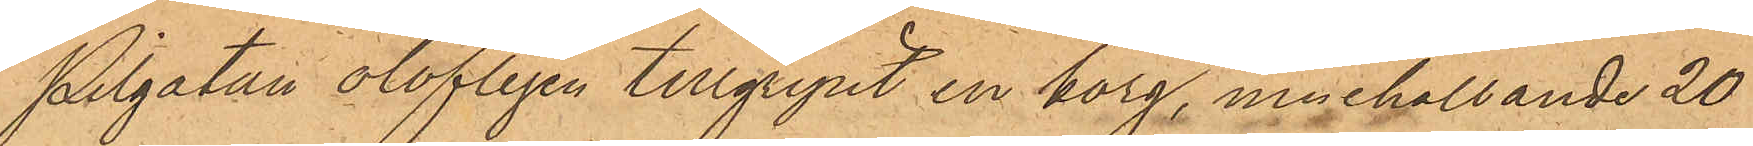Pilgatan olofligen tillgripit en korg, innehållande 20
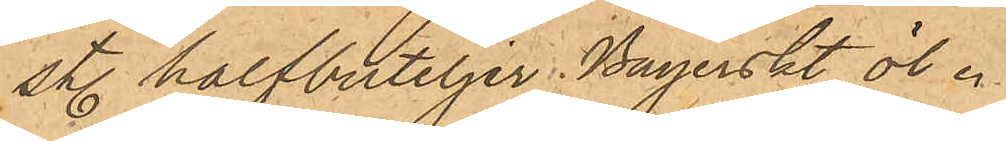st. halfbuteljer Bayerskt öl.
